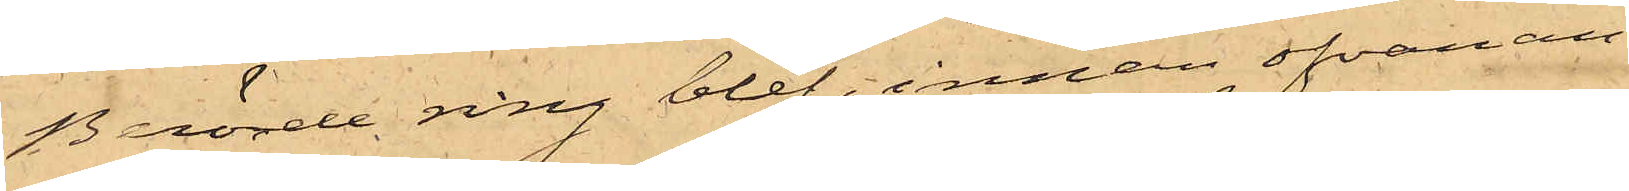Berörde ring blef, innan ofvan an¬
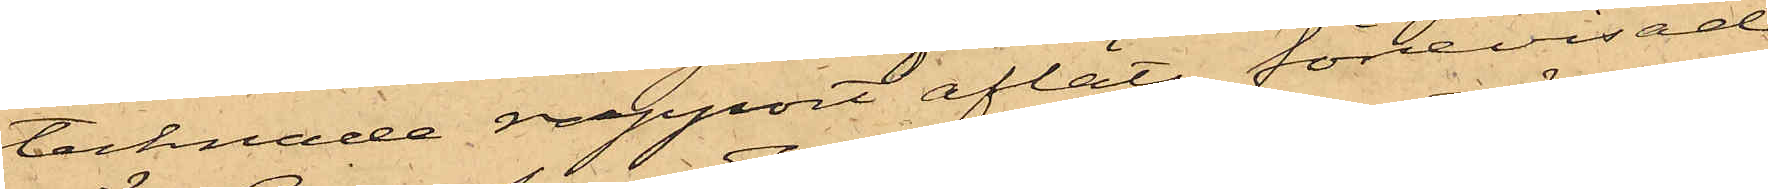tecknade rapport afläts, förevisad
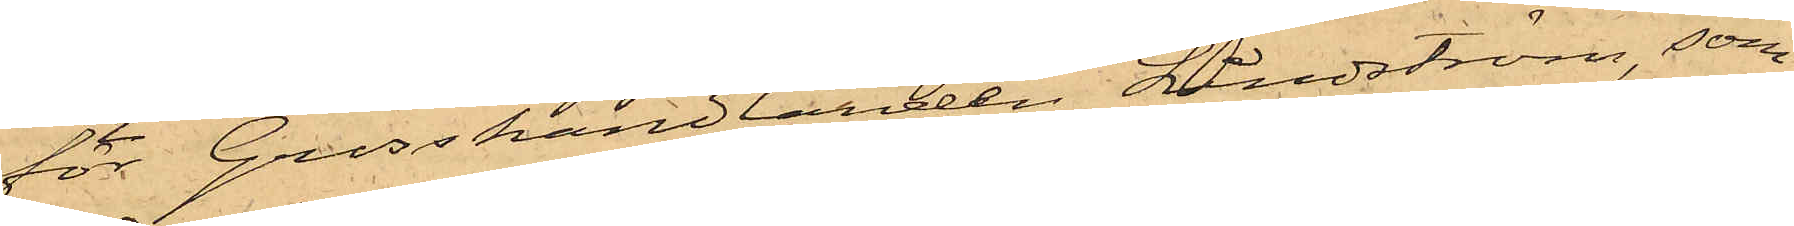för Grosshandlanden Lindström, som
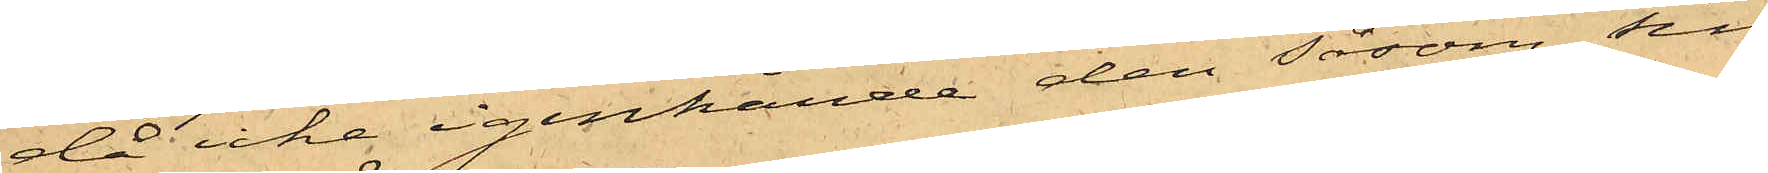då icke igenkände den såsom sin
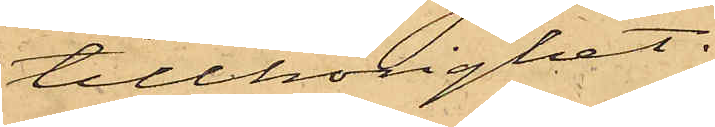tillhörighet.
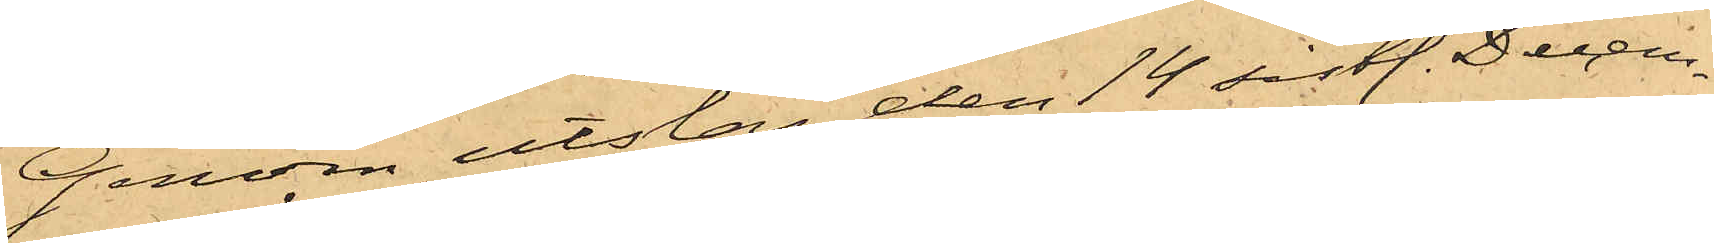Genom utslag den 14 sistl. Decem¬
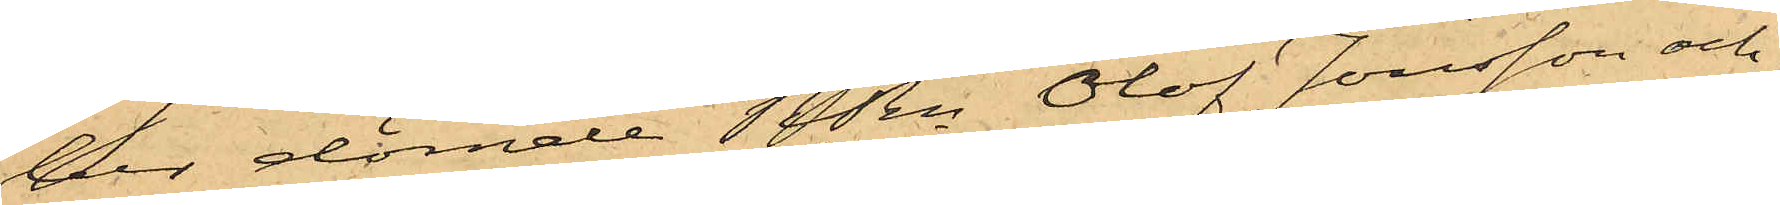der dömde RRn Olof Jonsson och
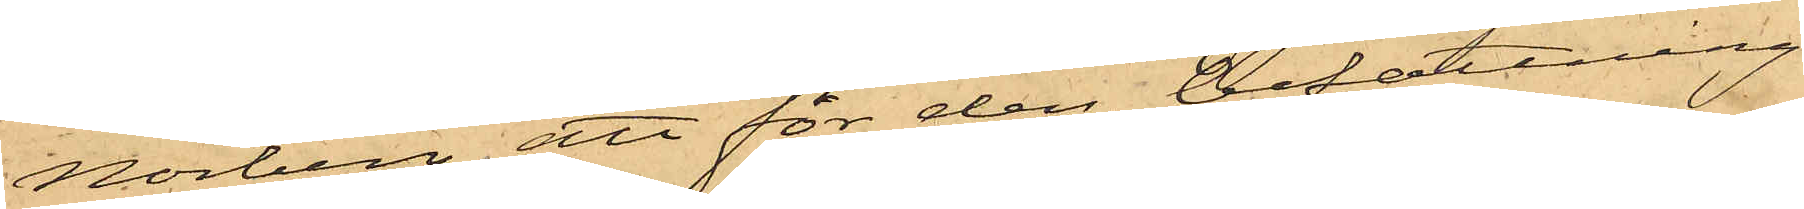Norberg, att för den befattning
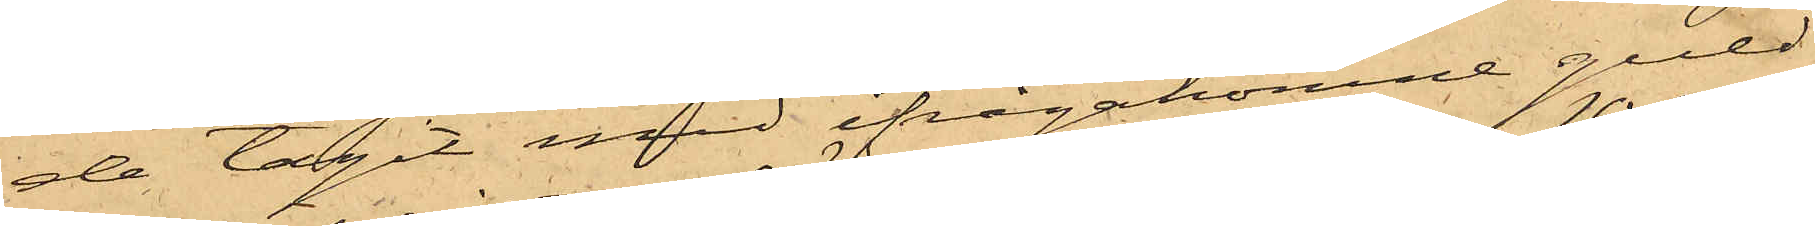de tagit med ifrågakomne guld¬
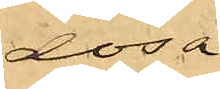dosa
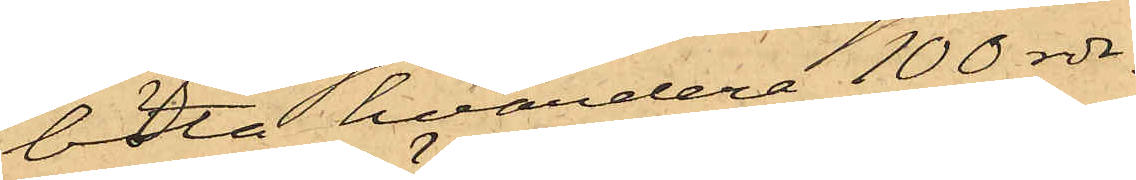böta hvardera 100 rdr.
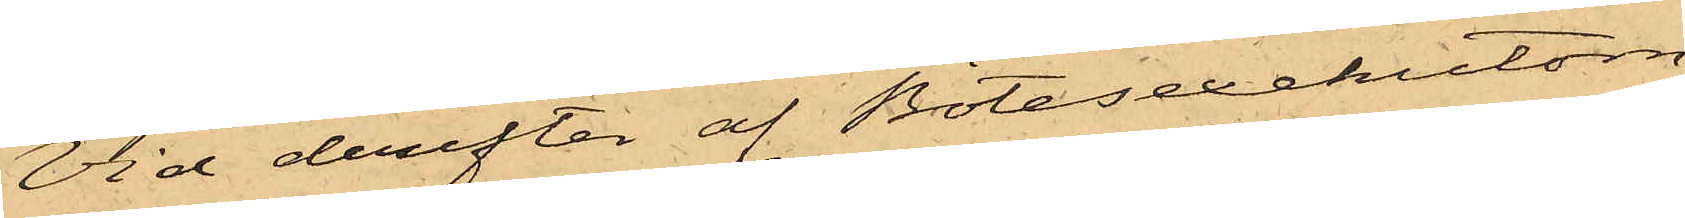Vid derefter af Bötesexekutorn
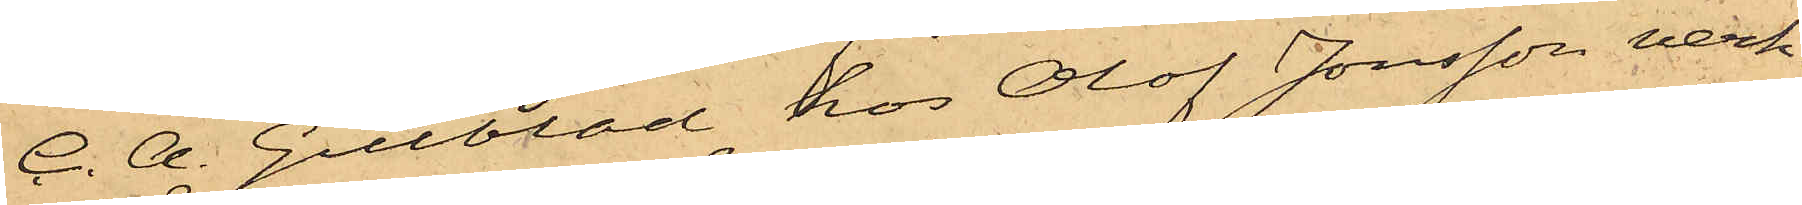C. A. Gillblad hos Olof Jonsson verk¬
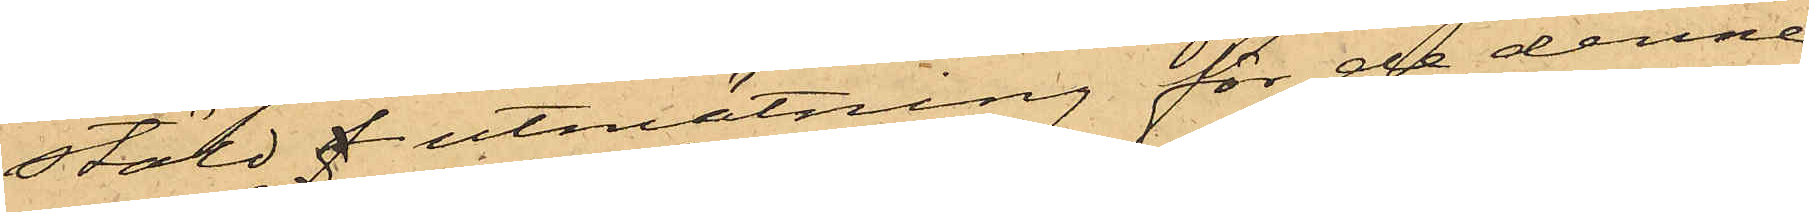stäld f utmätning för de denne
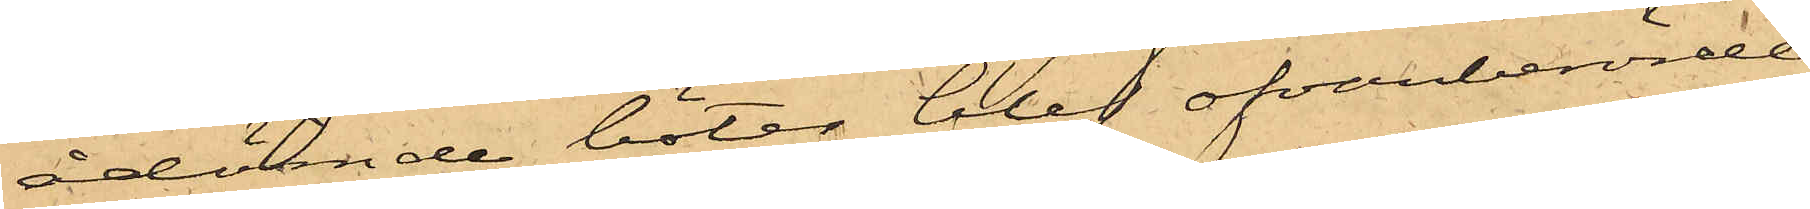ådömde böter blef ofvanberörde
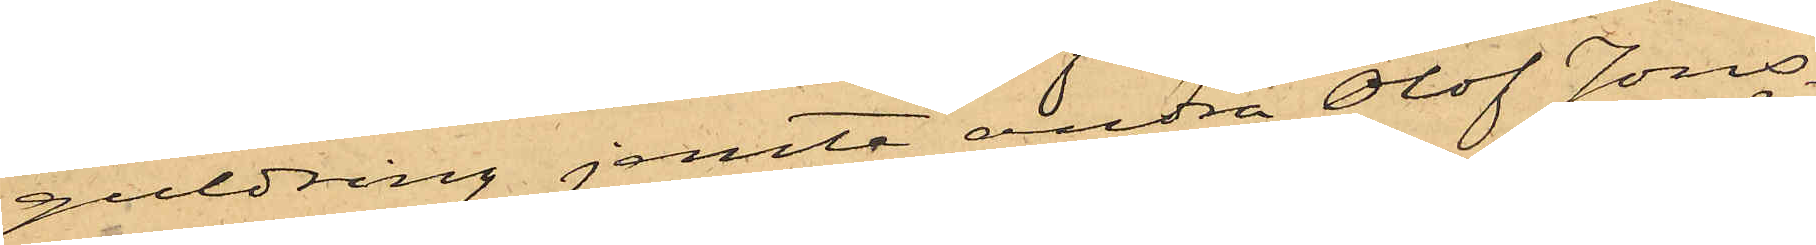guldring jemte andra Olof Jons¬
